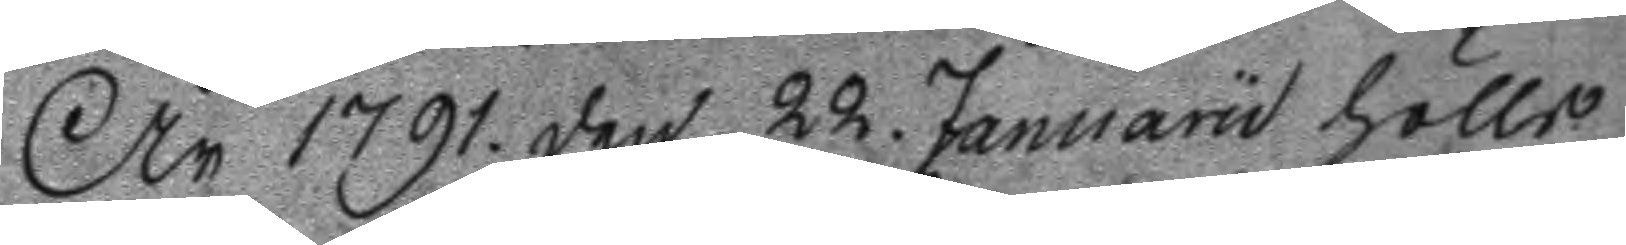År 1791. den 22. Januaru hölls
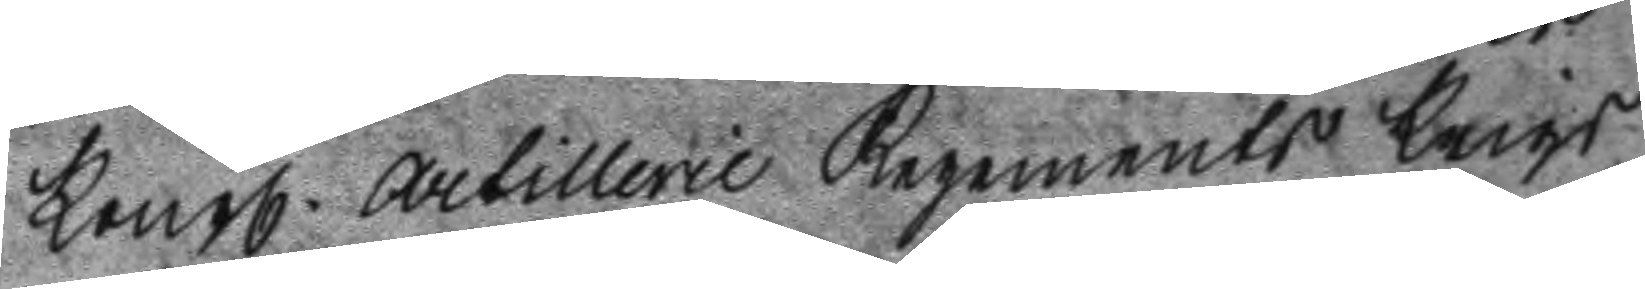Kongl. Artillerie Regements Krigs
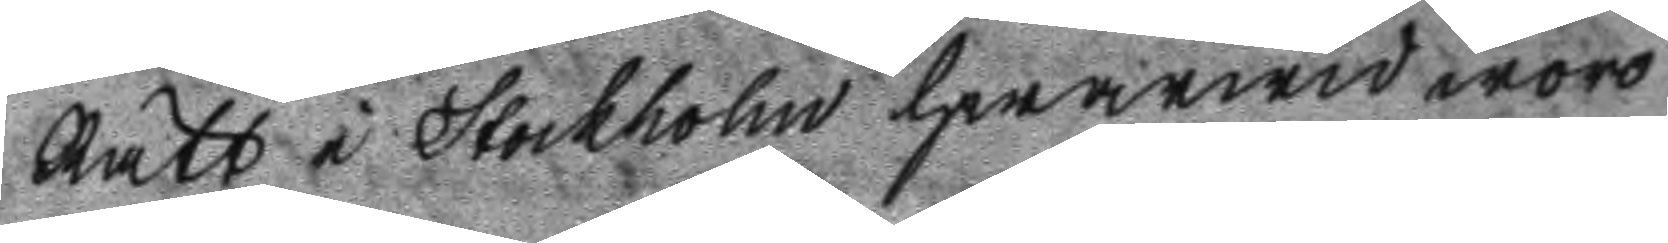Rätt i Stockholm hwarwid woro
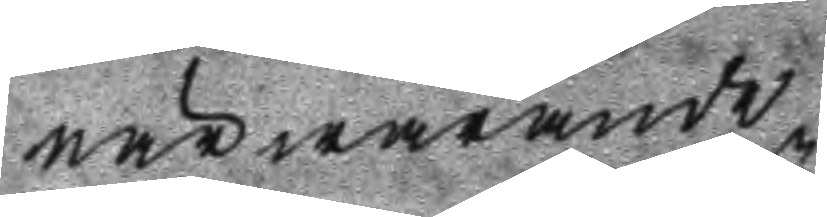närwarande
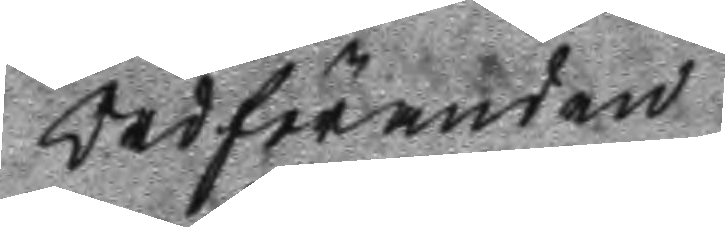Ordföranden
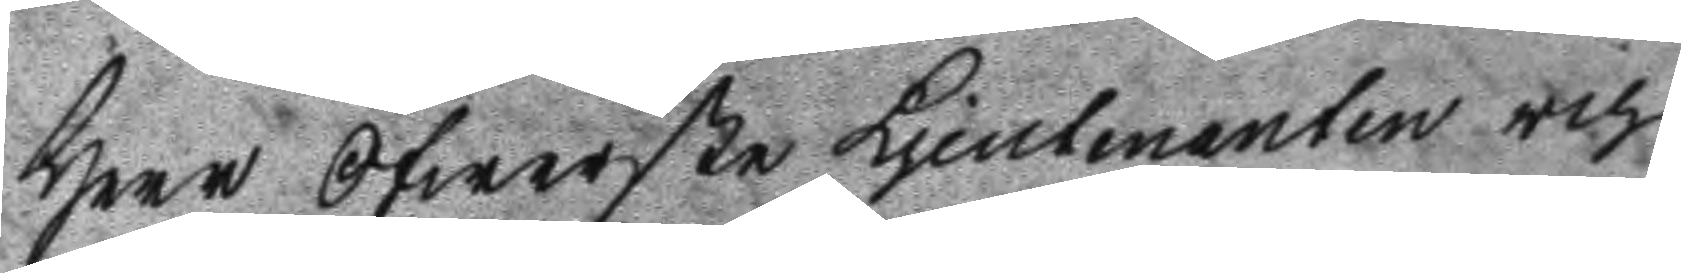Herr Öfwerste Ljeutenanten och
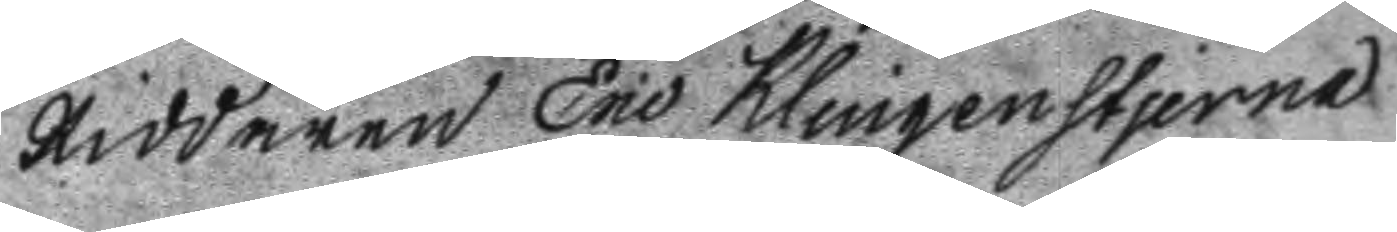Riddaren Eric Klingenstjerna
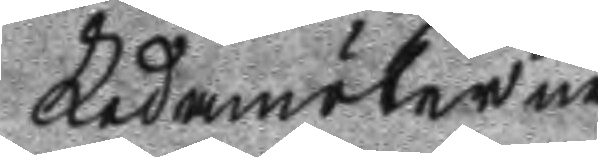Ledamöterne
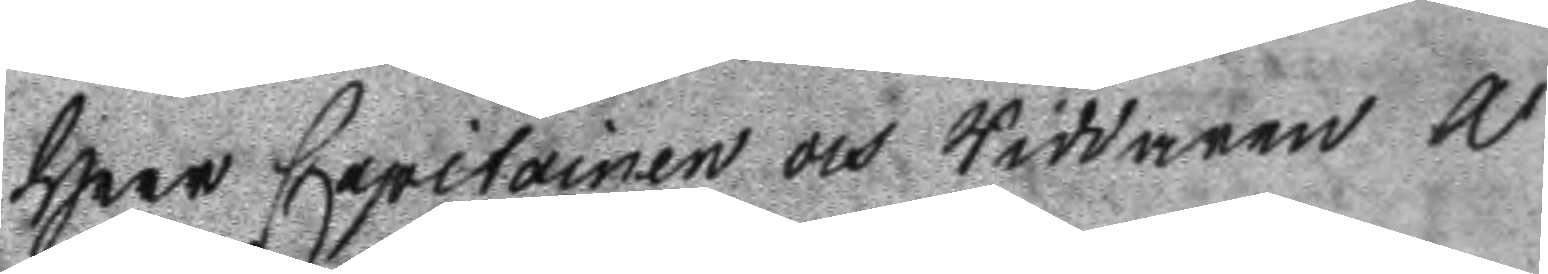Herr Capitainen och Riddaren A:
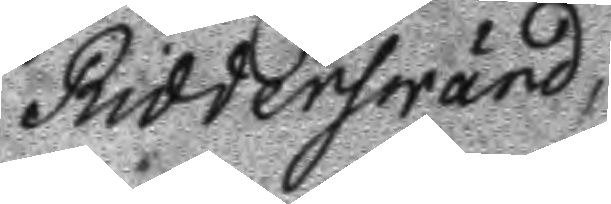Ridderswärd,
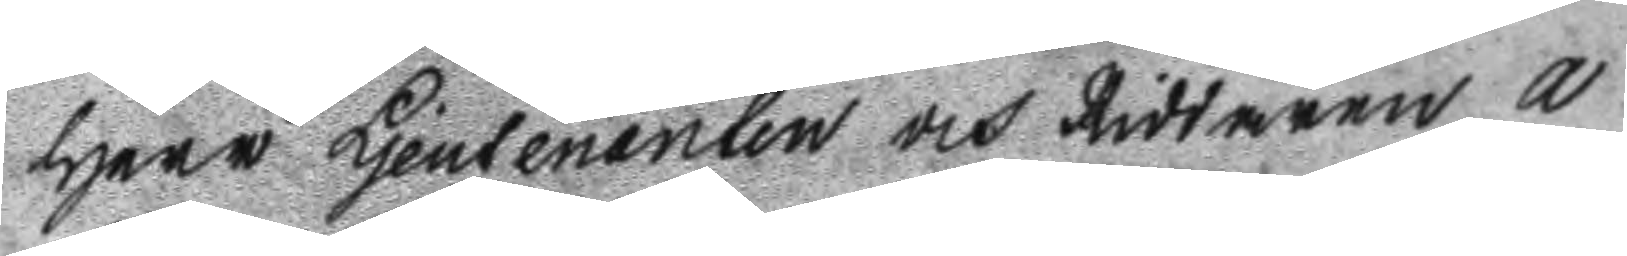Herr Ljeutenaten och Riddaren A
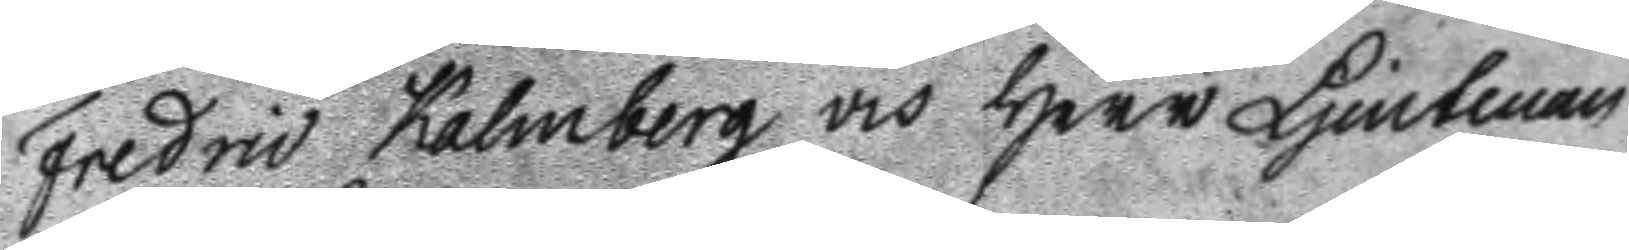Fredric Kalmberg och Herr Ljeutenan
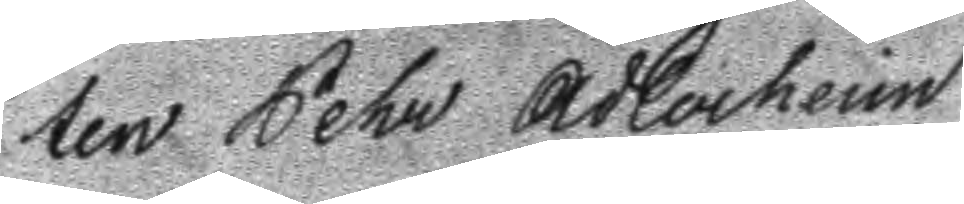ten Pehr Adlerheim
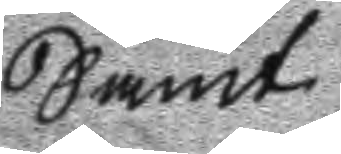Samt
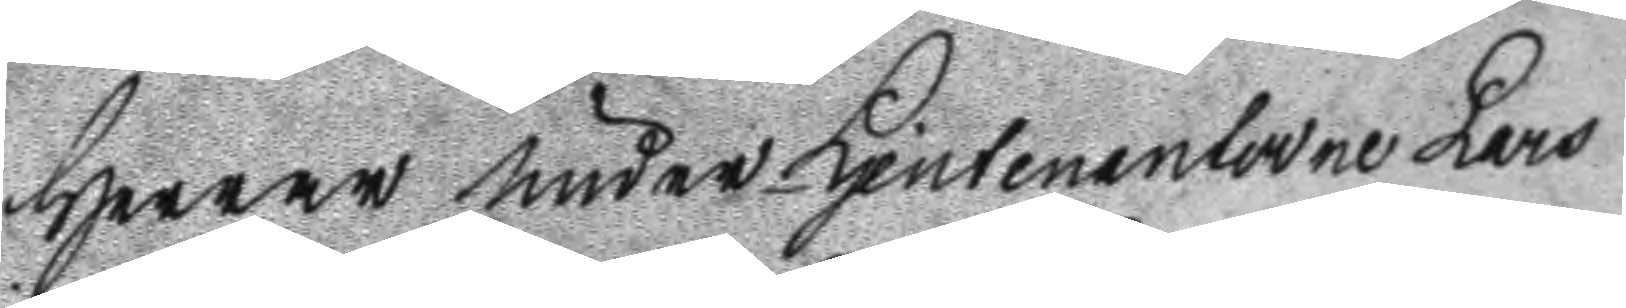Herrar Under Ljeutenanterne lars
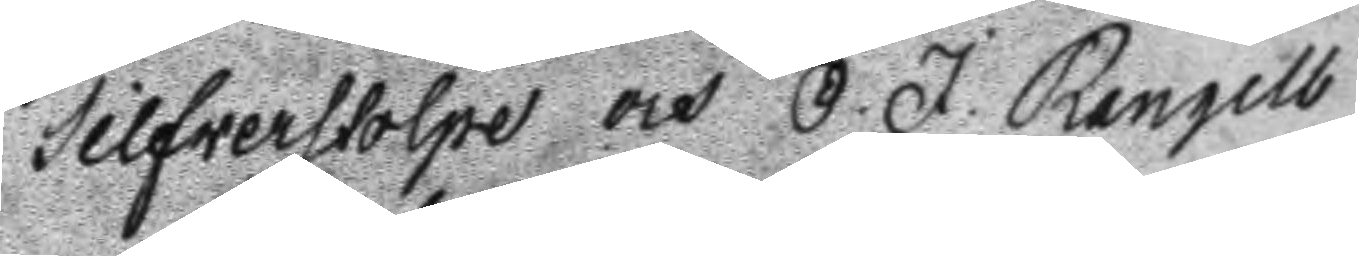Silfverstolpe och O. J. Rengelb
